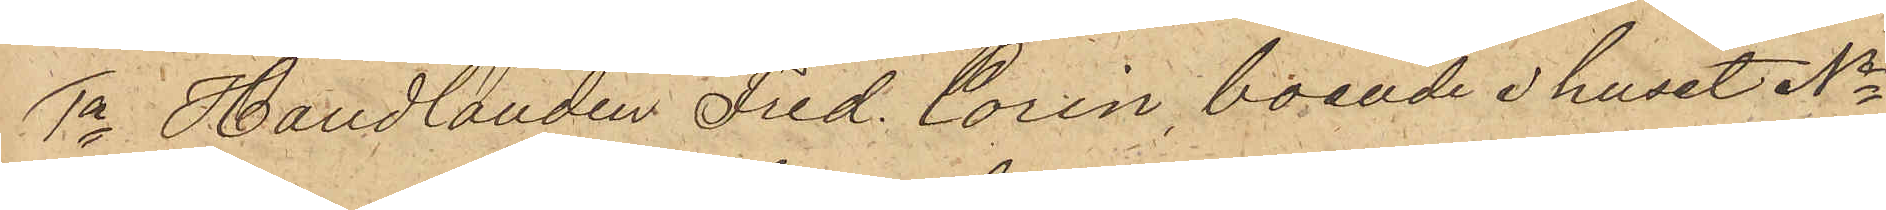1o Handlanden Fred. Corin, boende i huset No
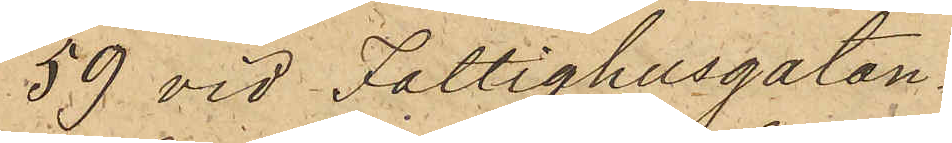59 vid Fattighusgatan,
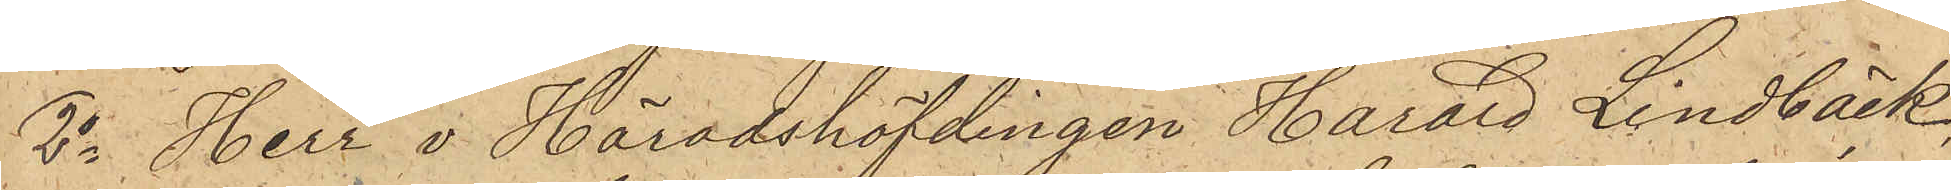2o Herr v Häradshöfdingen Harard Lindbäck,
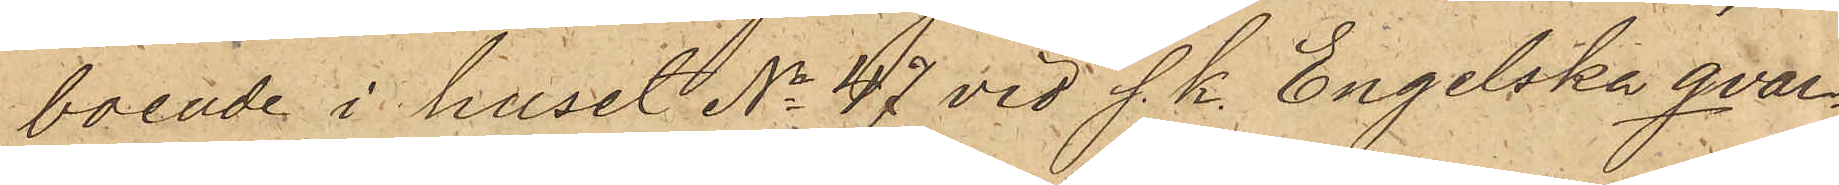boende i huset No 47 vid s. k. Engelska qvar¬
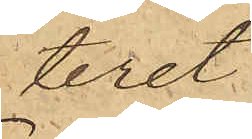teret,
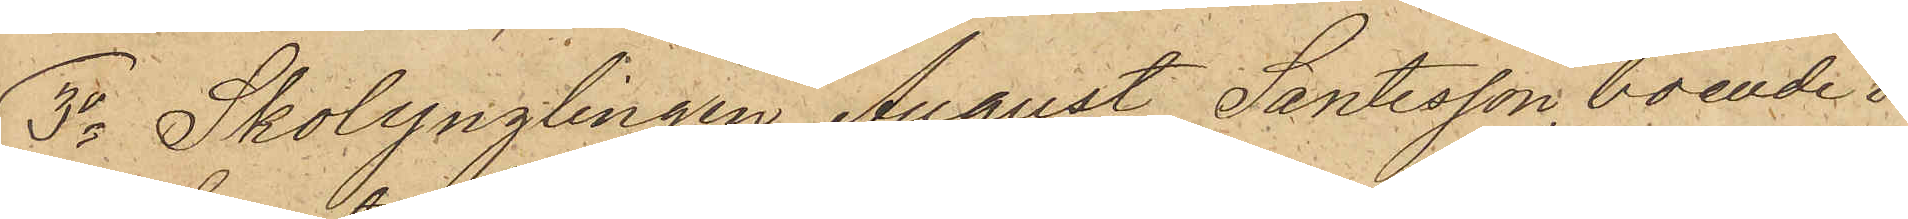3o Skolynglingen August Santesson, boende i
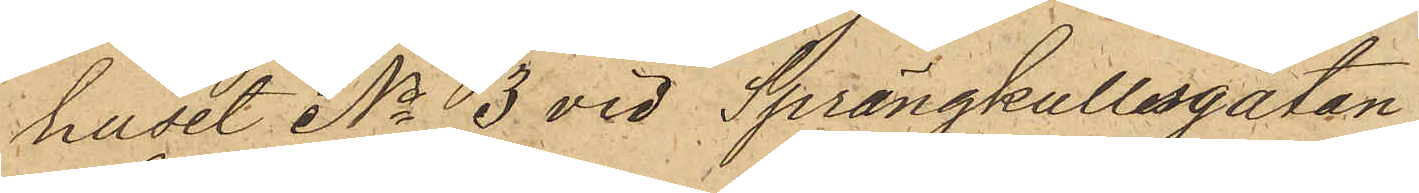huset No 3 vid Sprängkullsgatan,
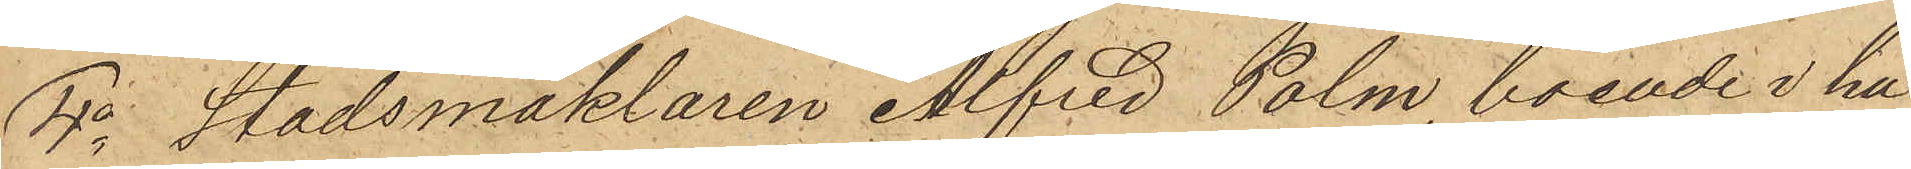4o Stadsmäklaren Alfred Palm, boende i hu¬
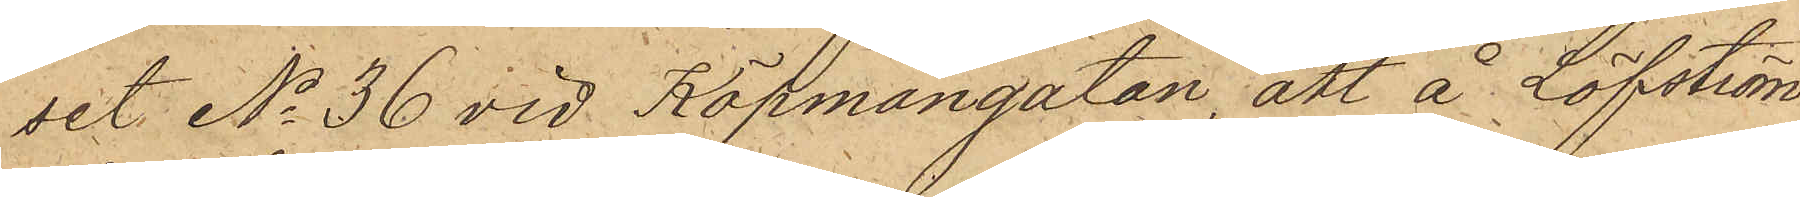set No 36 vid Köpmangatan, att å Löfström¬
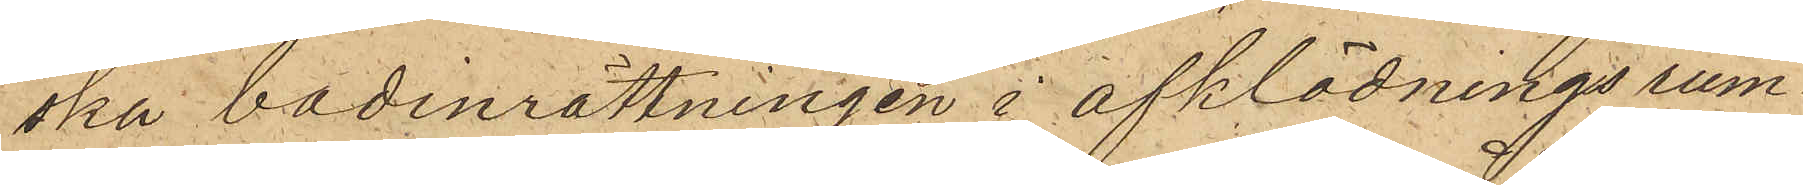ska badinrättningen i afklädningsrum¬
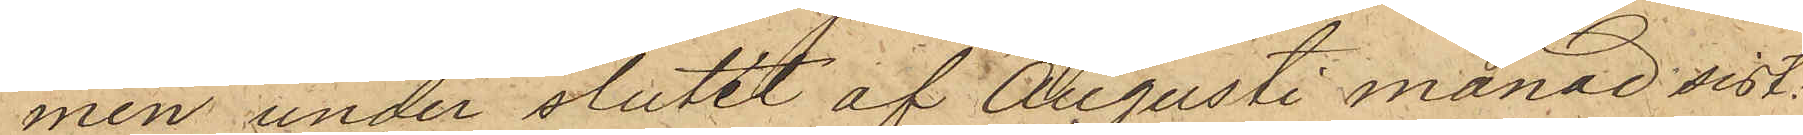men under slutet af Augusti månad sist¬
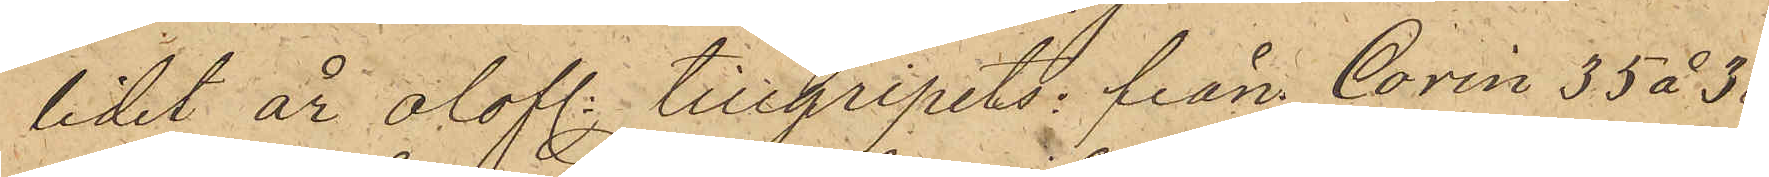lidet år olofl. tillgripits: från Corin 35 à 38
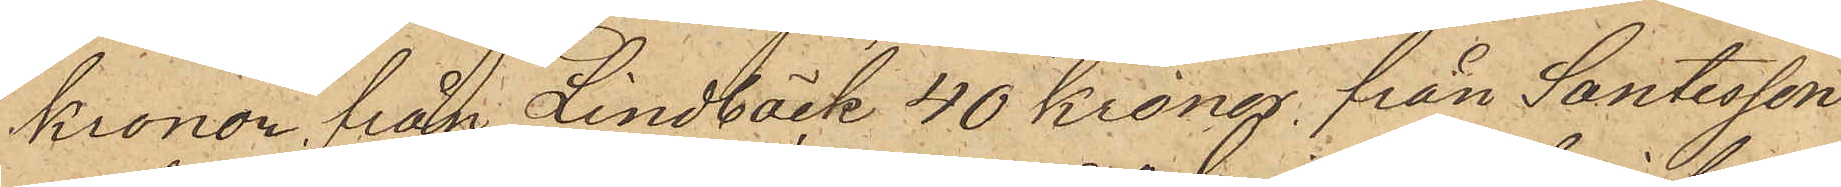kronor, från Lindbäck 40 kronor, från Santesson
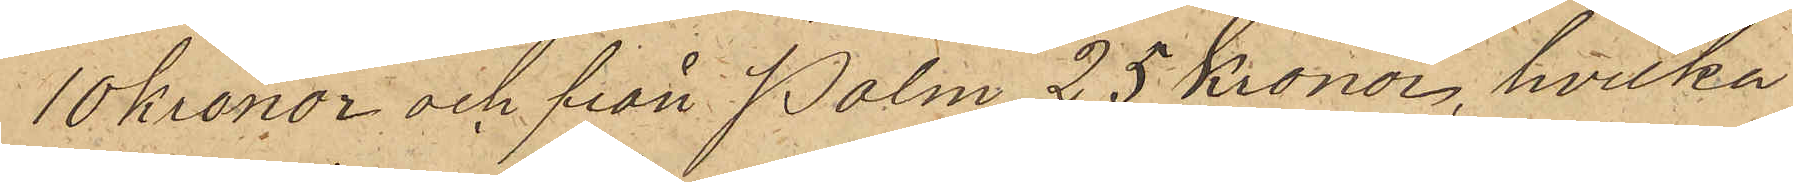10 kronor och från Palm 25 Kronor, hvilka
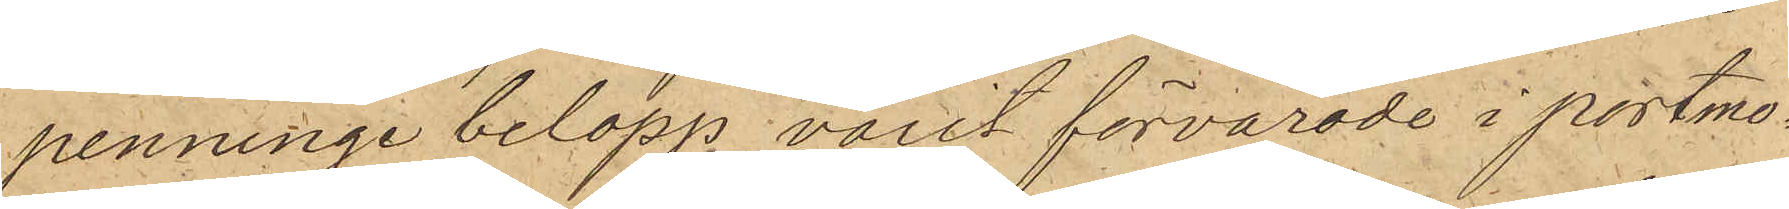penningebelopp varit förvarade i portmo¬
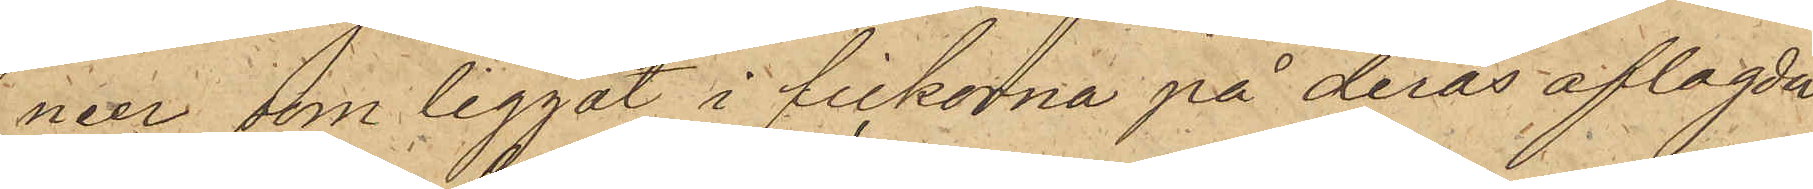naer som liggat i fickorna på deras aflagda
